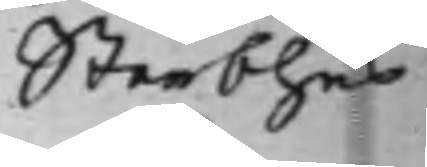Sterbhus
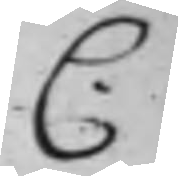C.
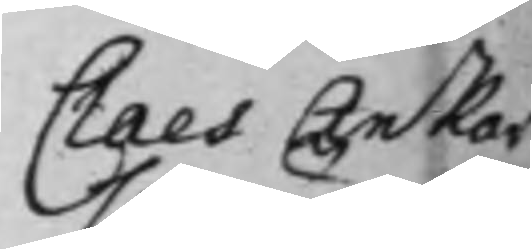Claes Ankar¬
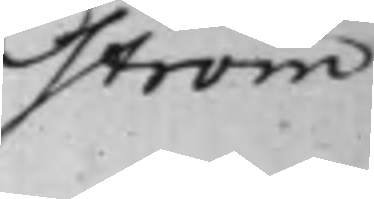ström
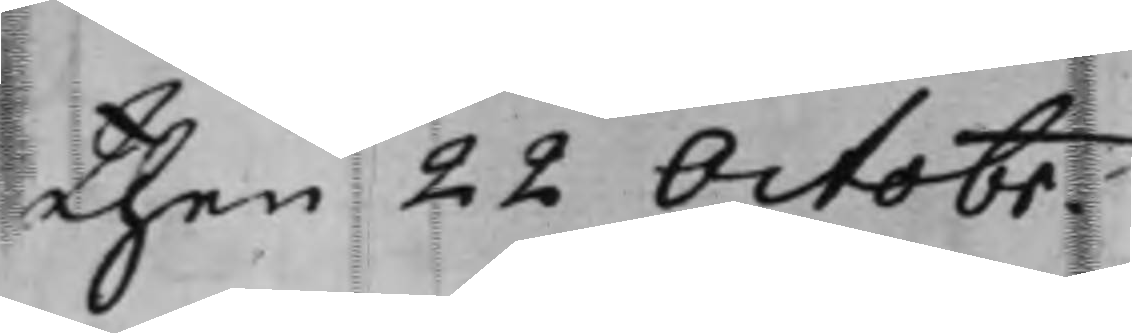then 22 Octobr.
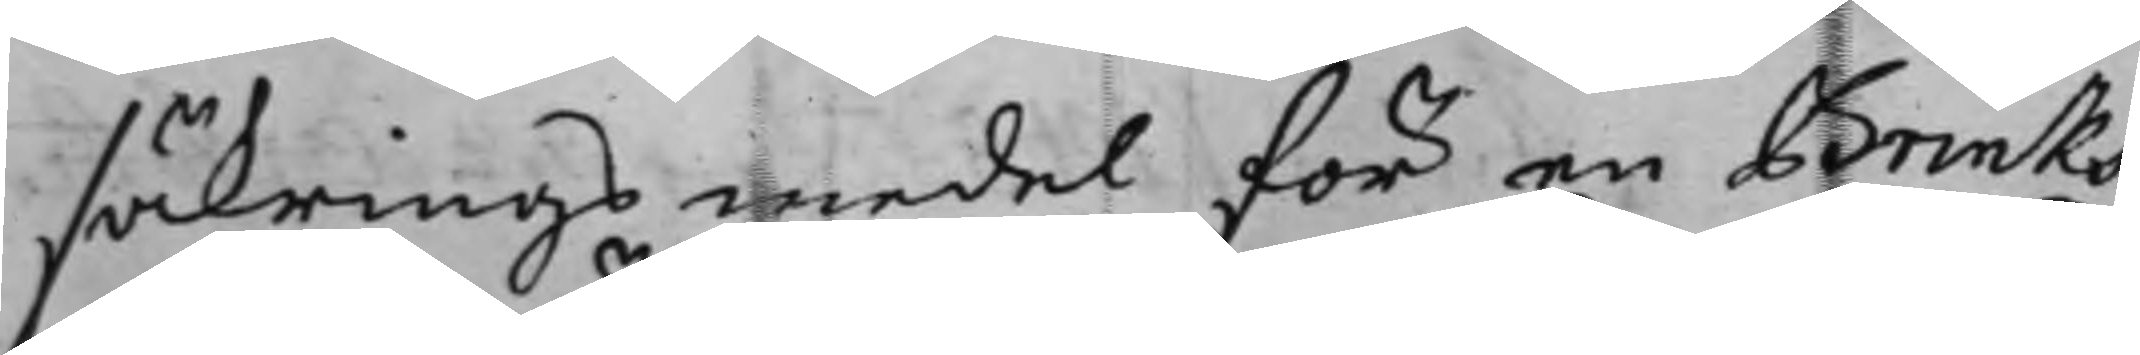säkrings medel för en Brinks
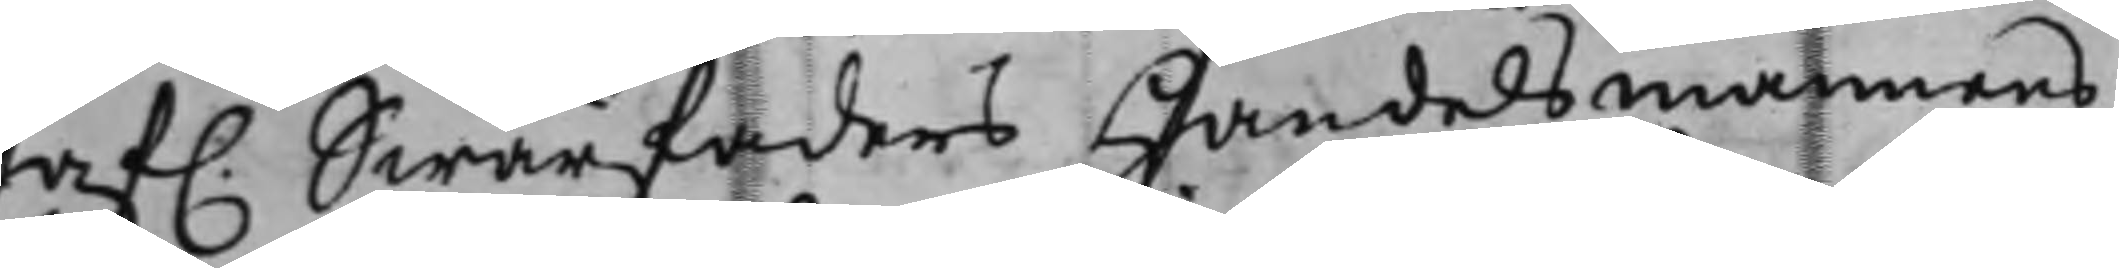af. Swärfaders Handelsmannens
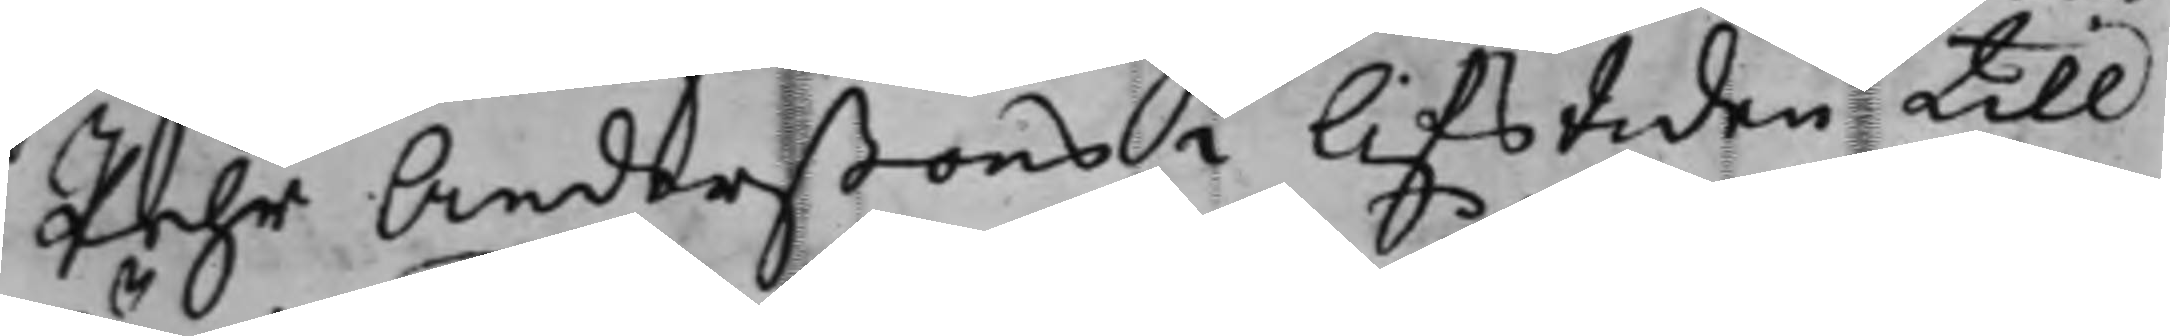Pehr Anderßons i lifstiden till¬
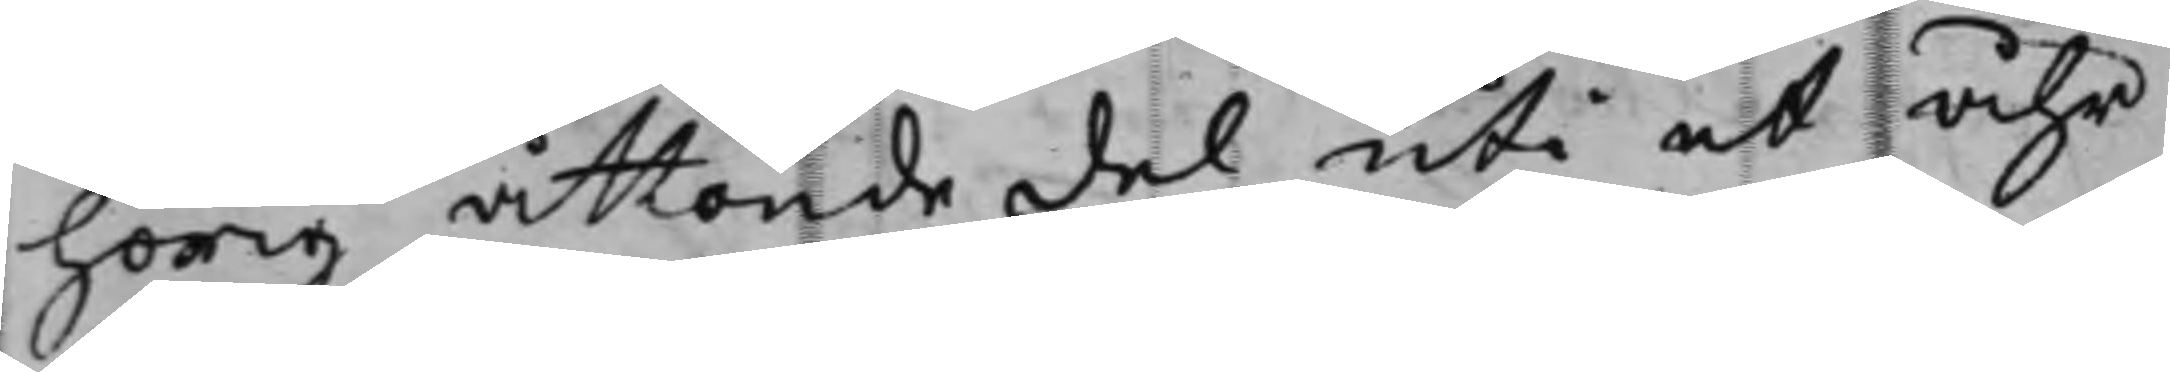hörig åttonde del uti et åhr
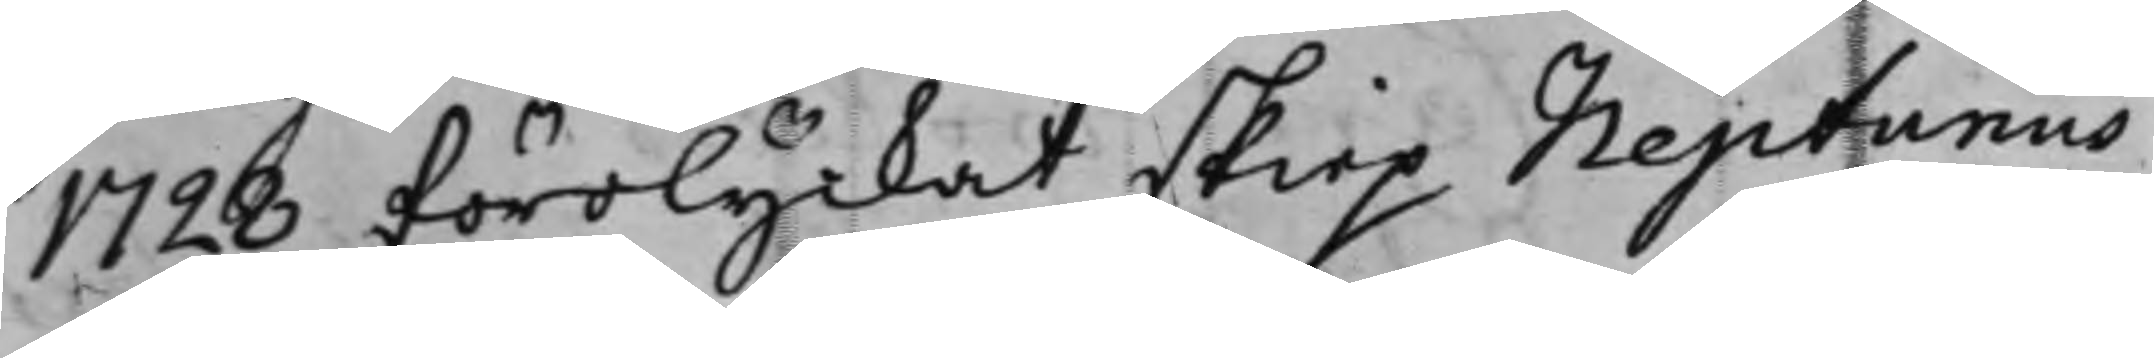1728 förolyckat skiep Neptunus
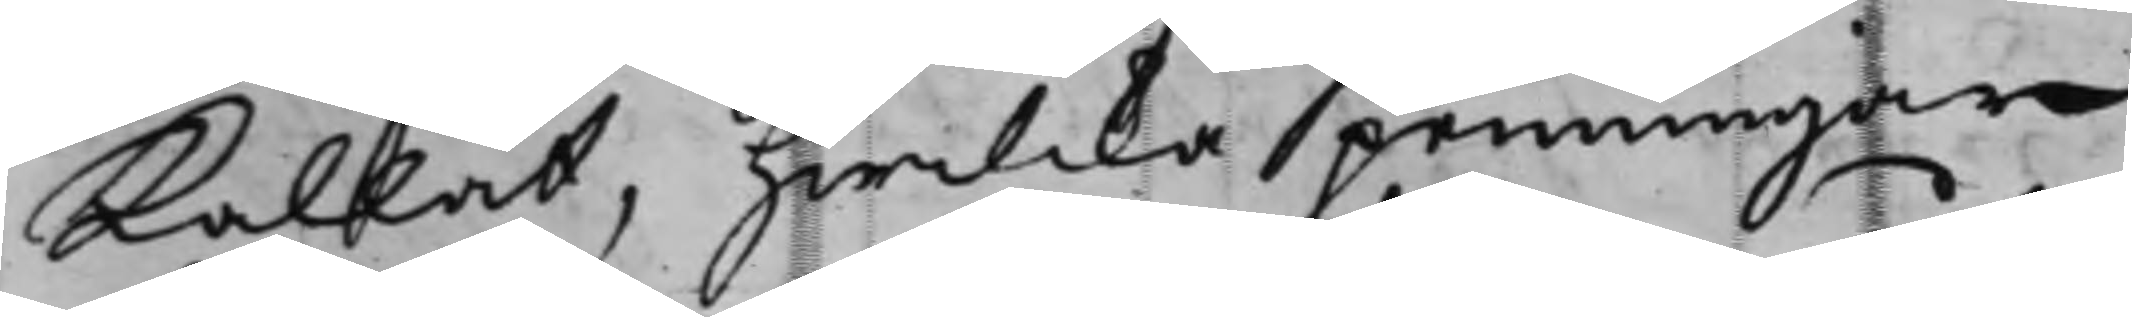kallat, hwilcka penningar
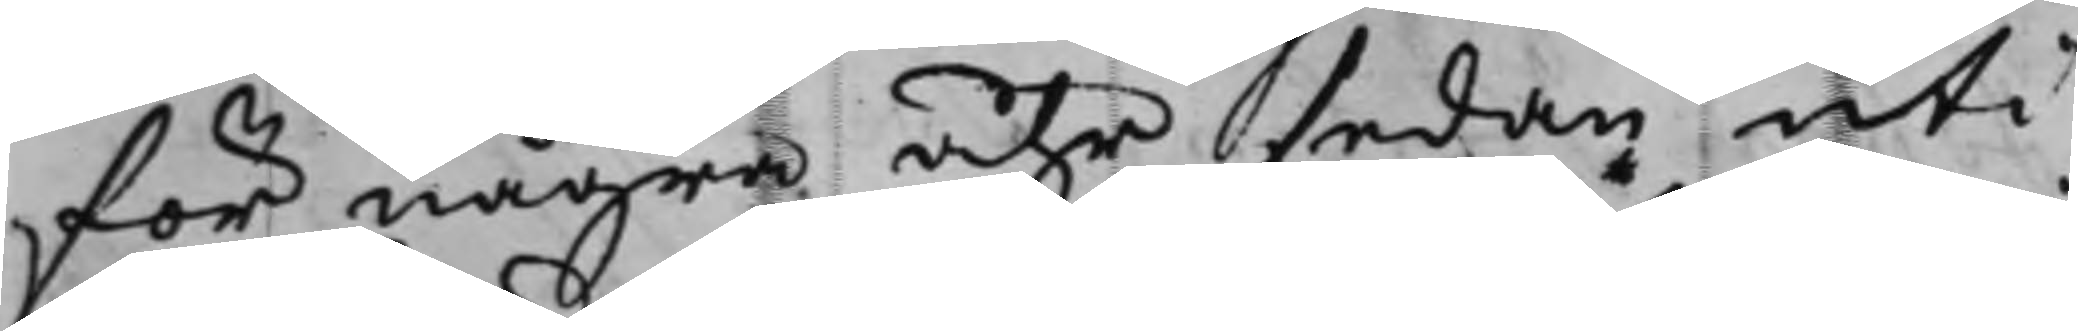för några åhr sedan uti
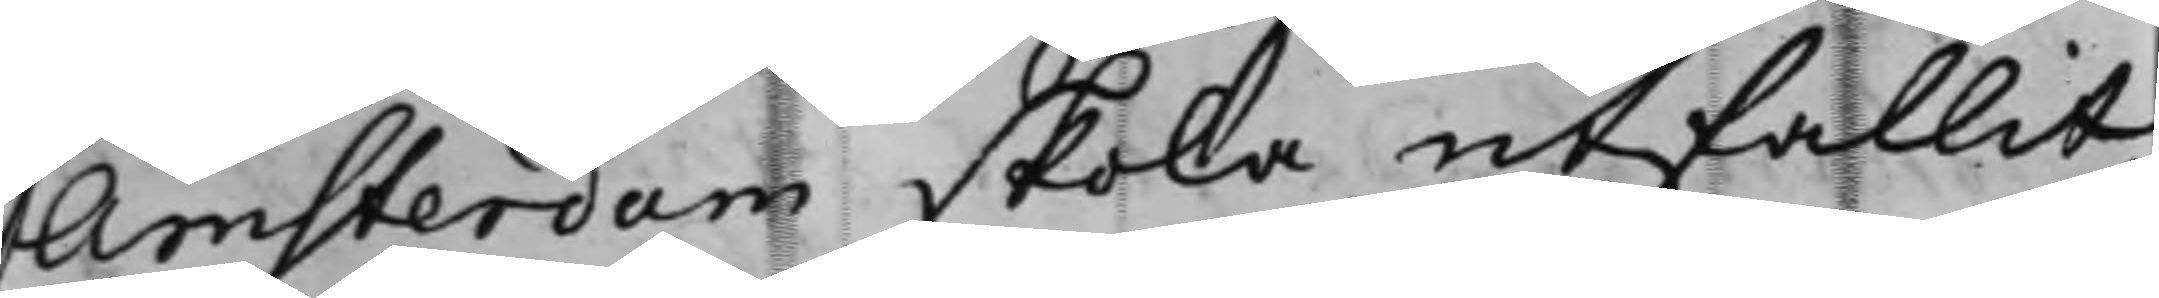Amsterdam skola utfallit,
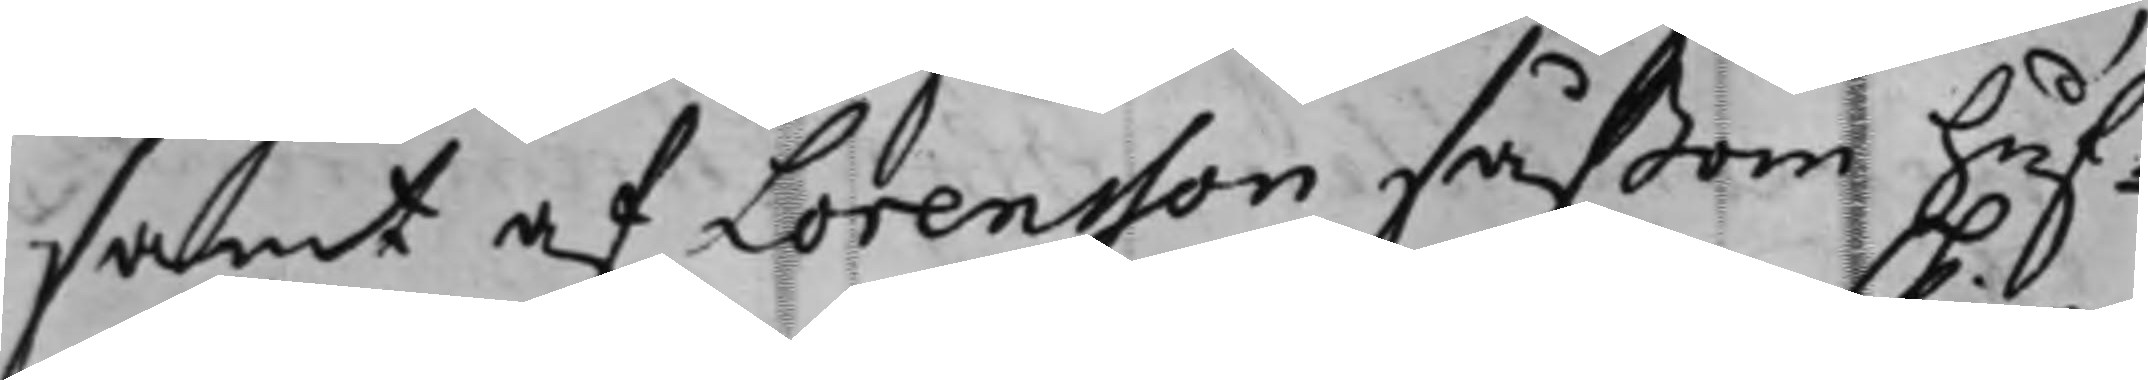samt af Lorensson såßom huf¬
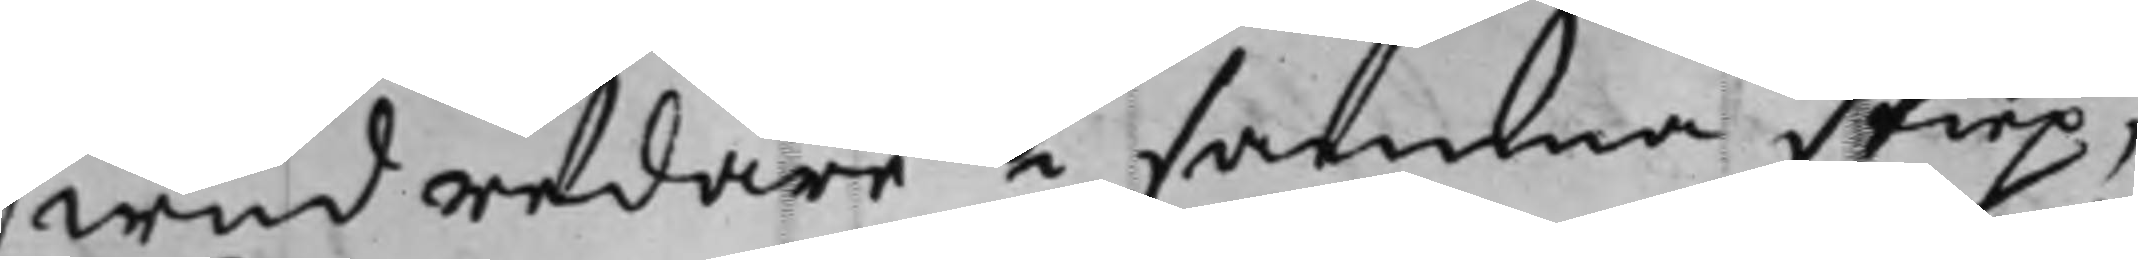wudredare i samma skiep,
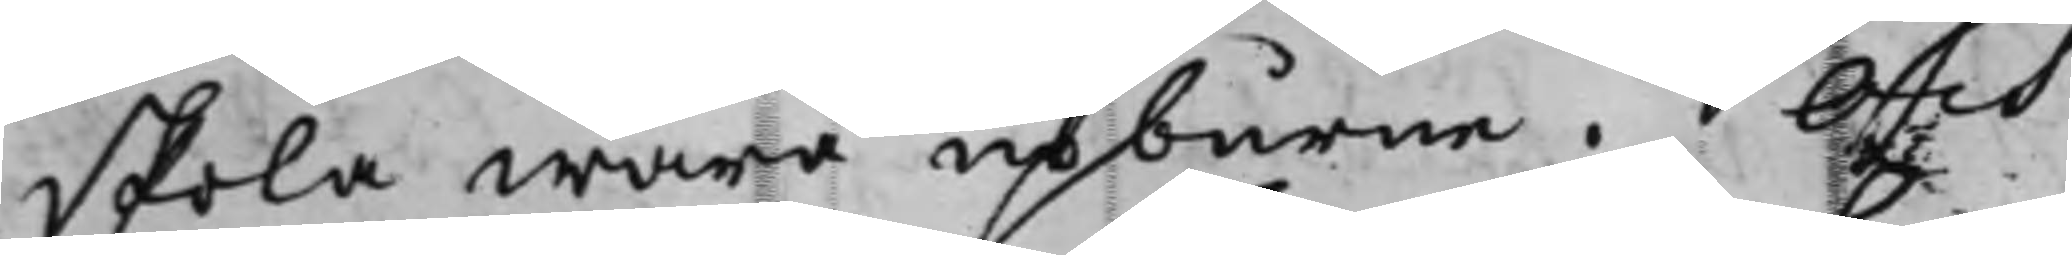skola wara upburne. Och
